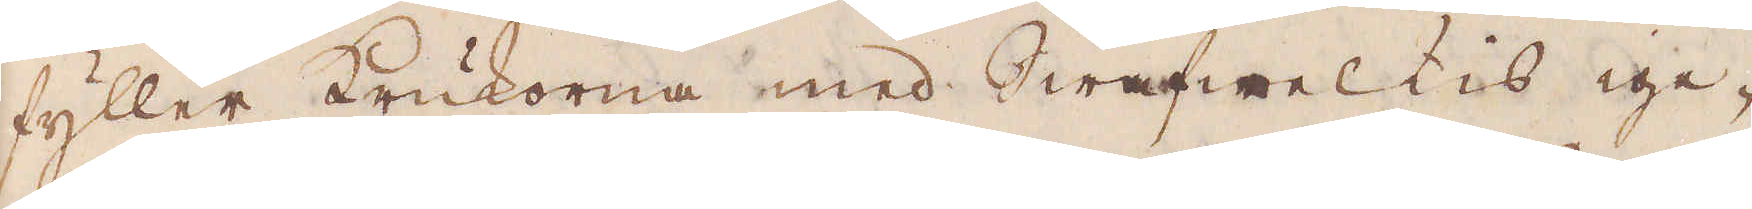fyller krukorna med Swafwelkis ige-
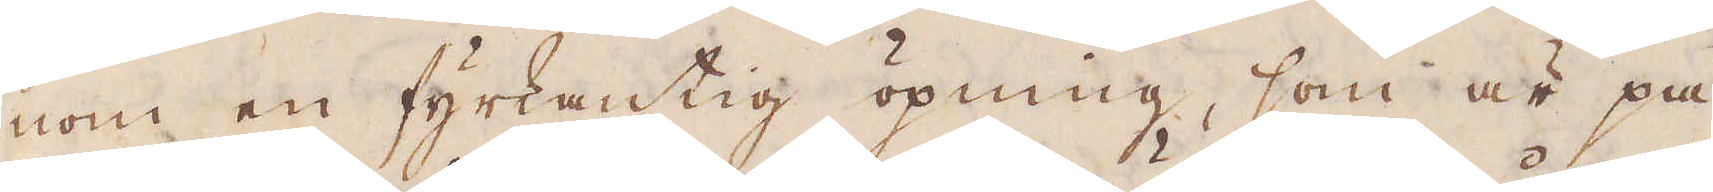nom en fyrkantig öpning, som är på
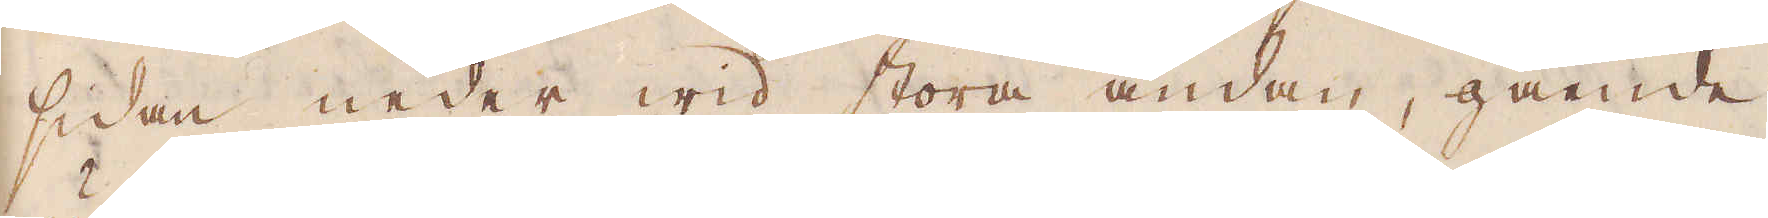sidan neder wid stora ändan, gående
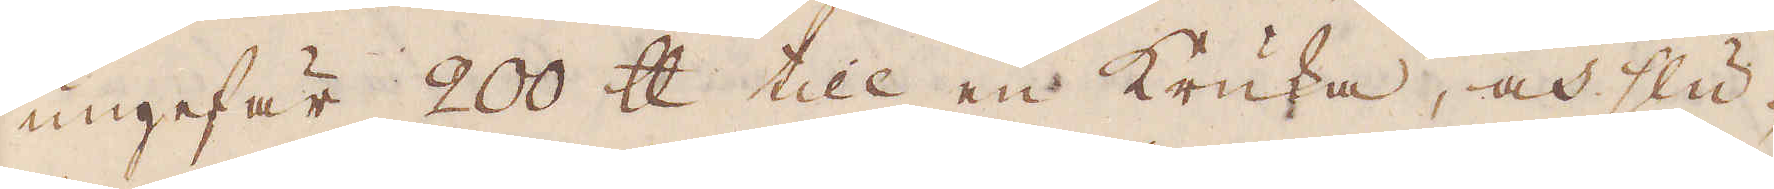ungefär 200 skålpund till en kruka, och slu-
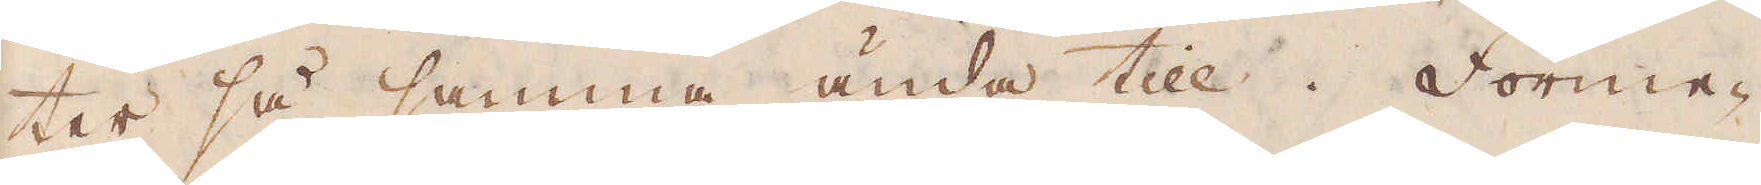ter så samma ända till. Forme-
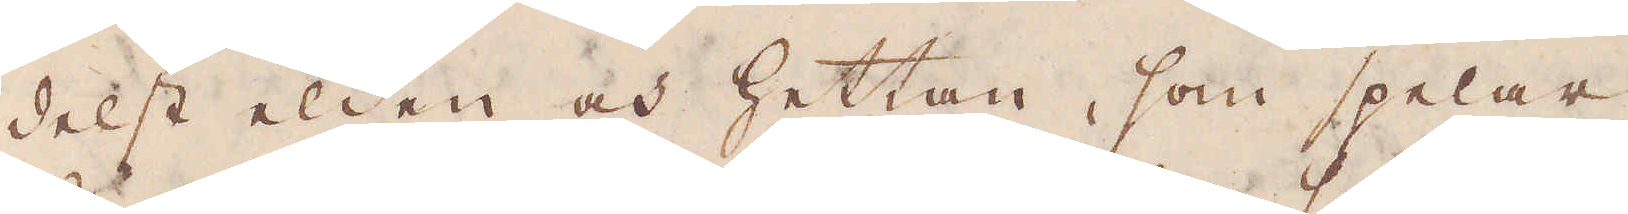delst elden och hettan, som spelar
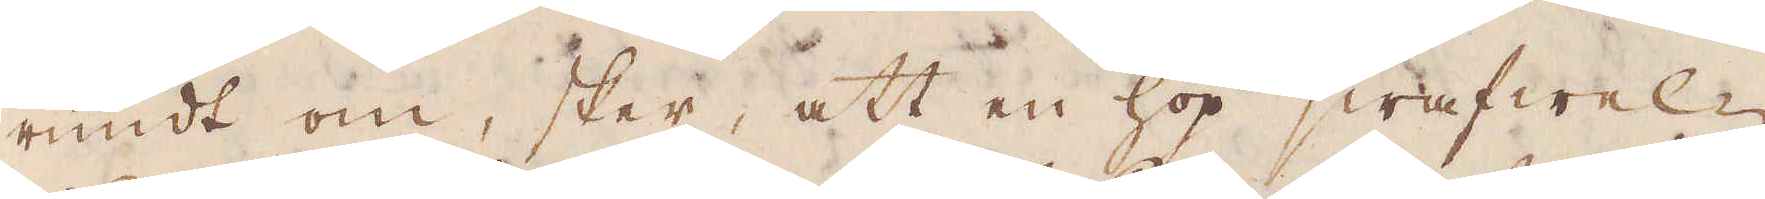rundt om, sker, att en hop swafwel-
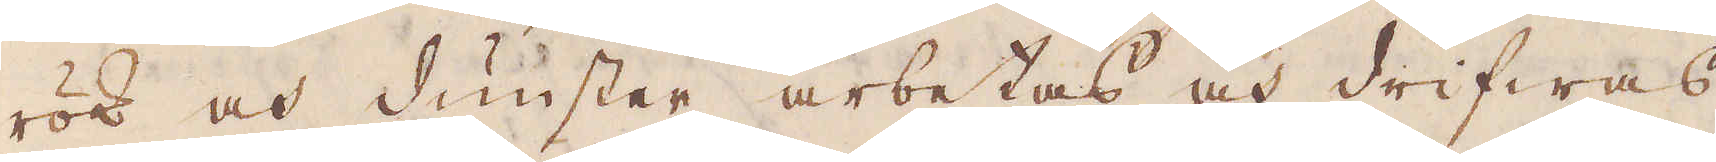rök och dunster arbetas och drifwas
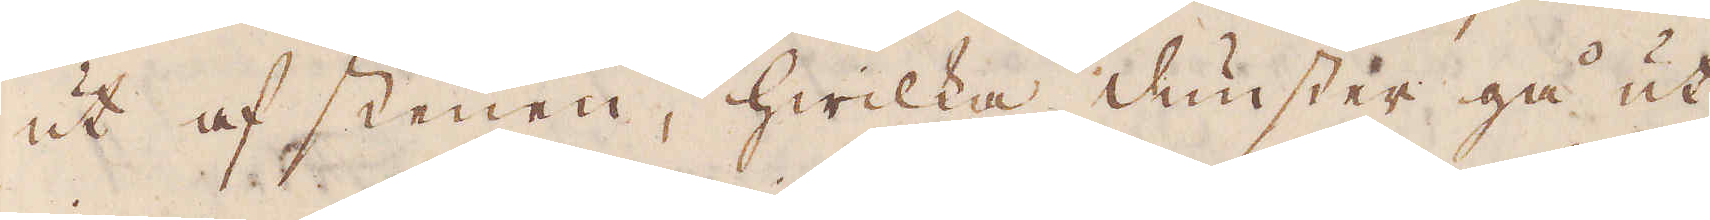ut af stenen, hwilka dunster gå ut
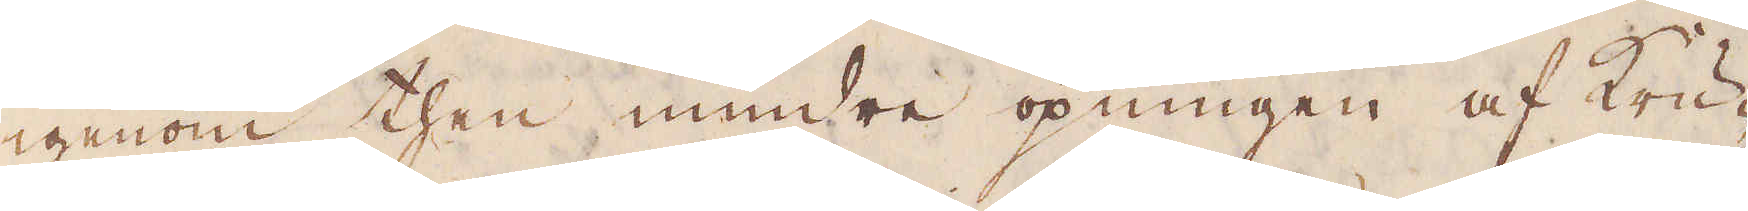igenom then mindre öpningen af Kru-
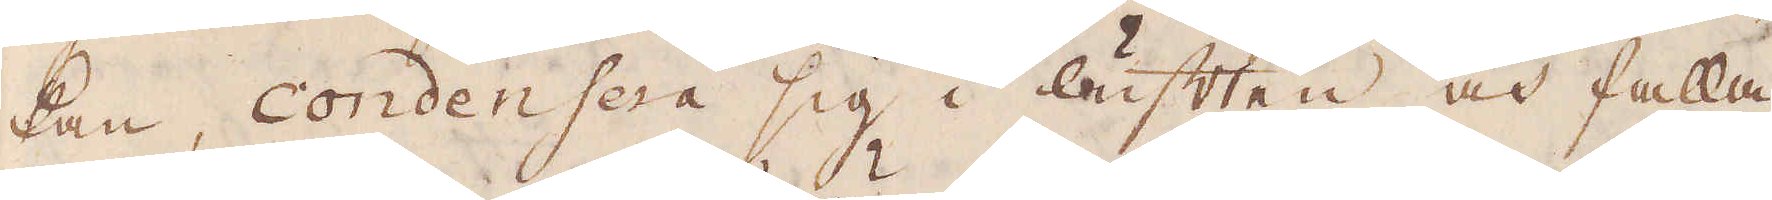kan condensera sig i luften och falla
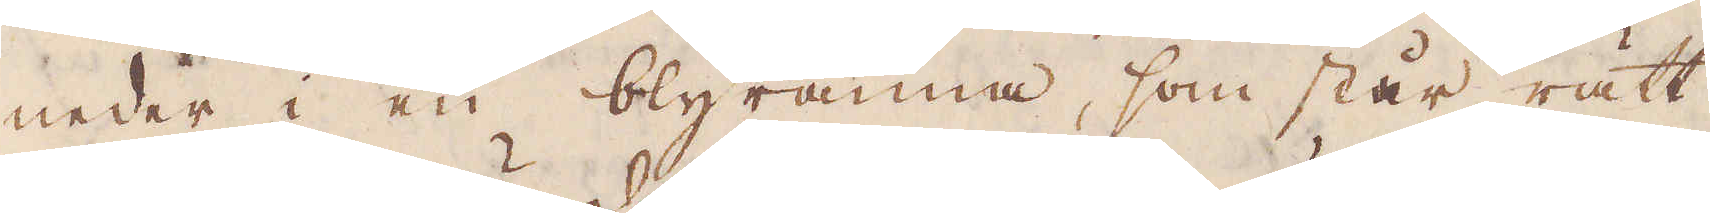neder i en blyränna, som står rätt
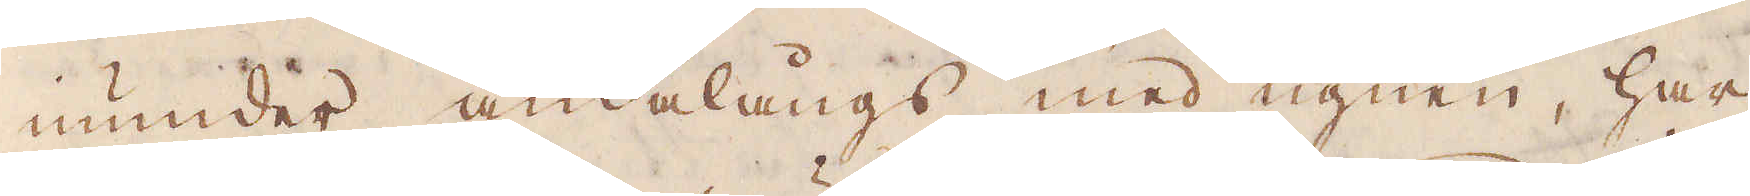under ändalångs med ugnen, har
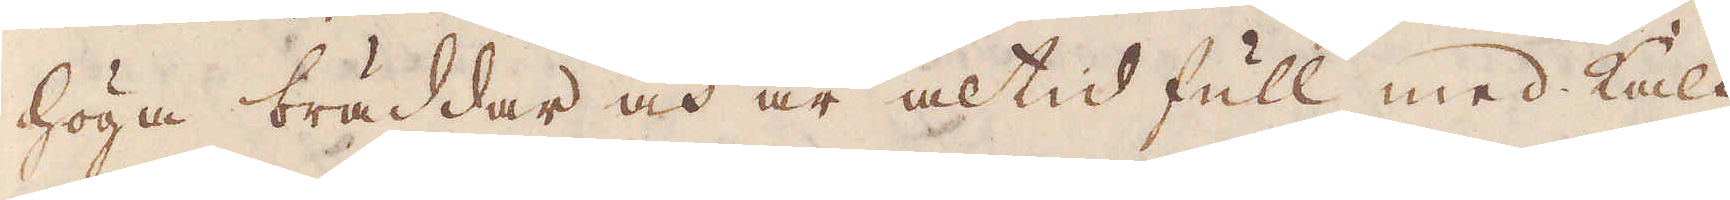höga bräddar och är altid full med kalt
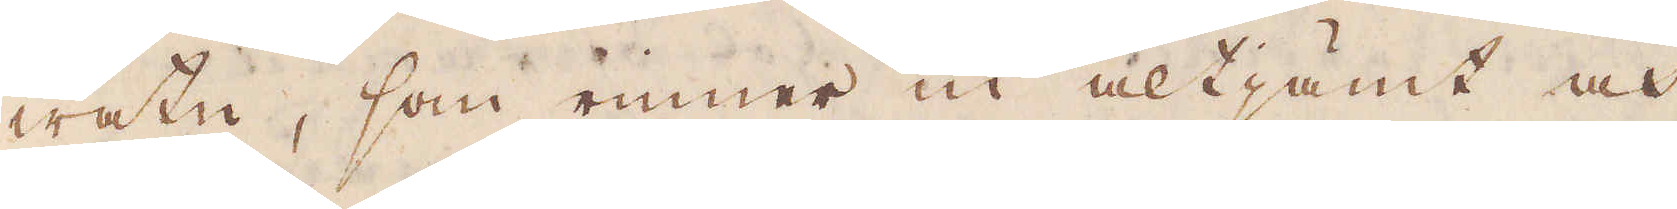watn, som rinner in althämt och
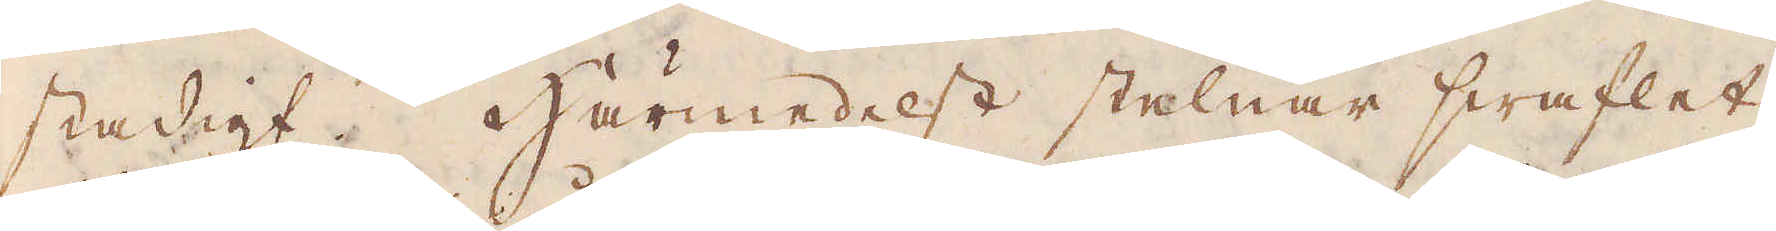stadigt. Härmedelst stelnar swaflet.
